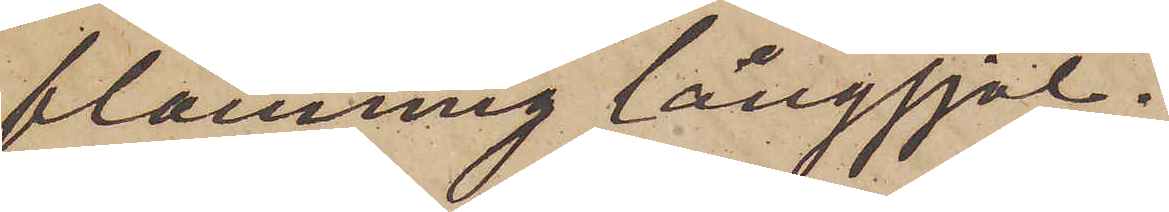blommig långsjal.
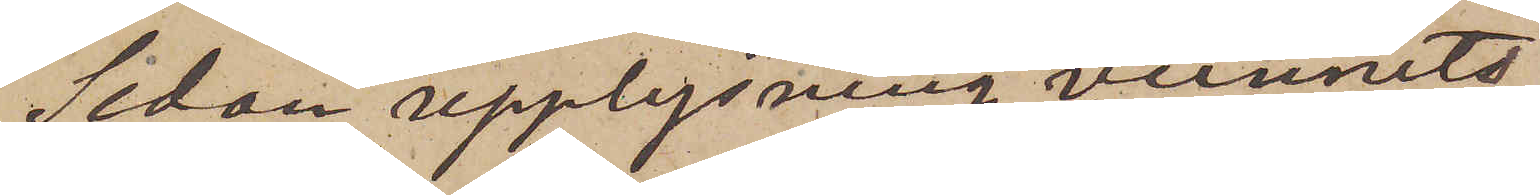Sedan upplysning vunnits
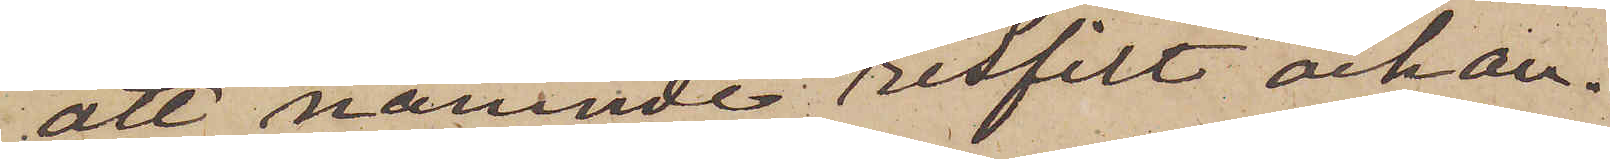att nämnde resfilt och an¬
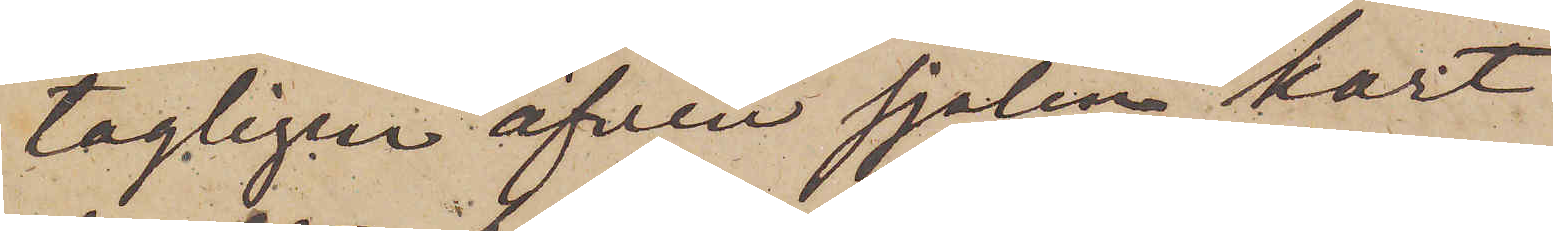tagligen äfven sjalen kort
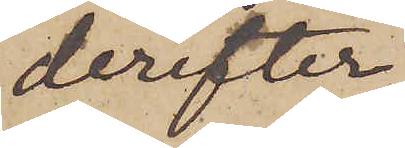derefter
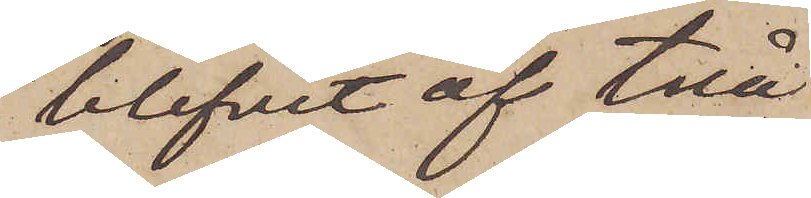blifvit af två
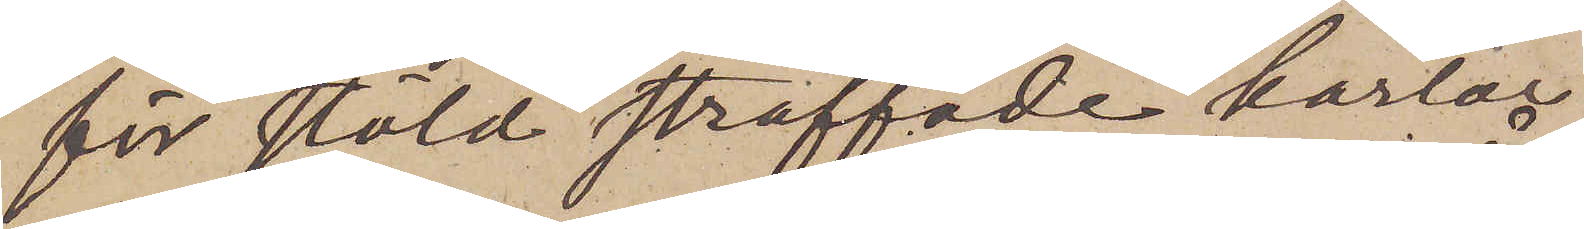för stöld straffade karlar
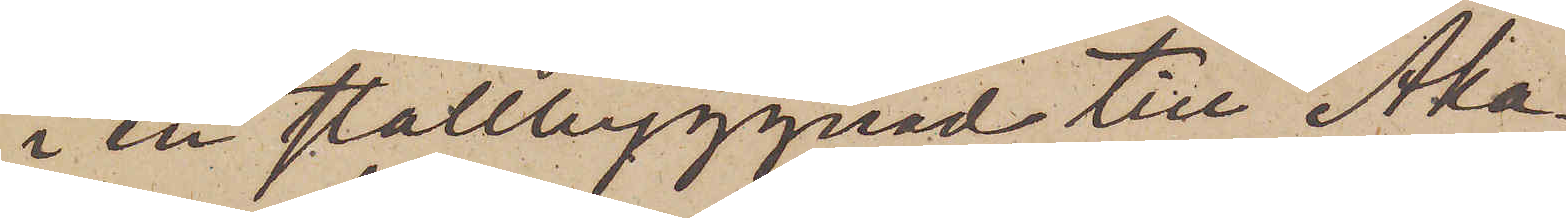i en stallbyggnad till Åka¬
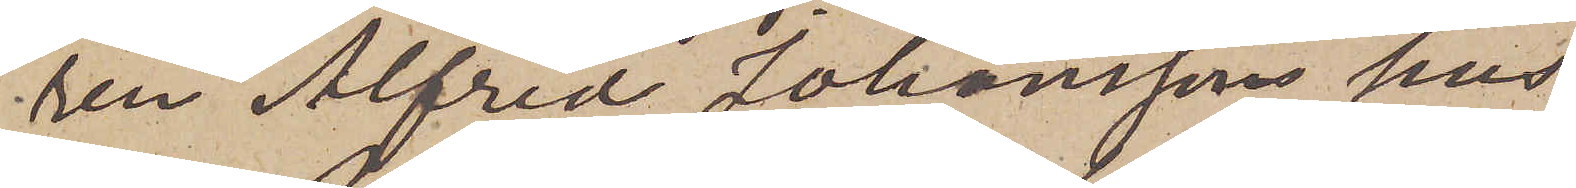ren Alfred Johanssons hus
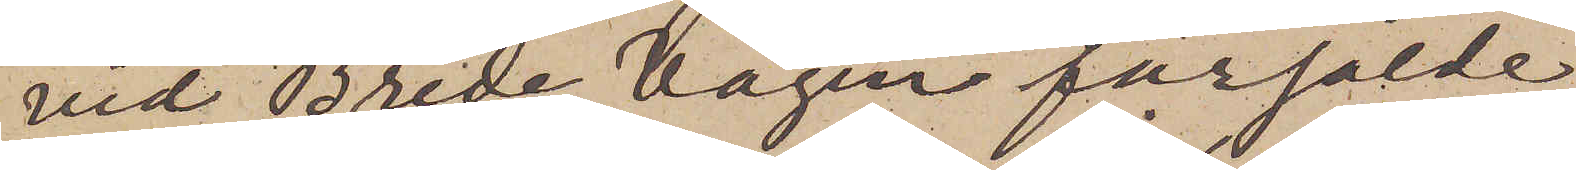vid Breda vägen försålde
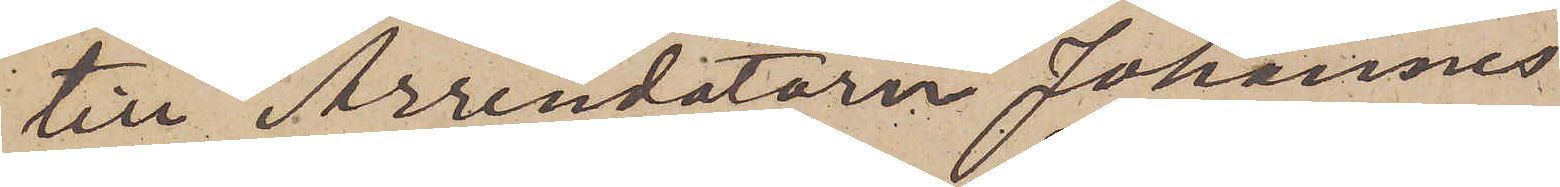till Arrendatorn Johannes
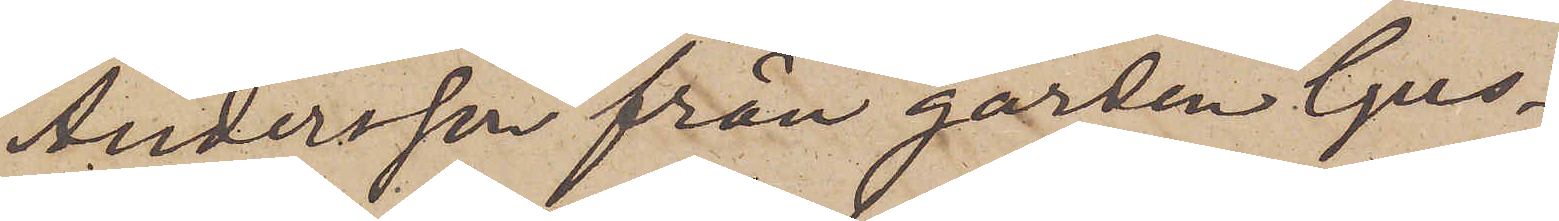Andersson från gården Gus¬
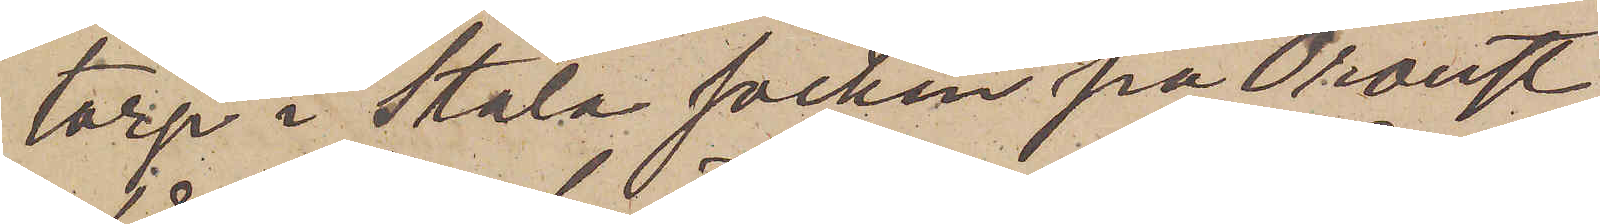torp i Stala socken på Oroust,
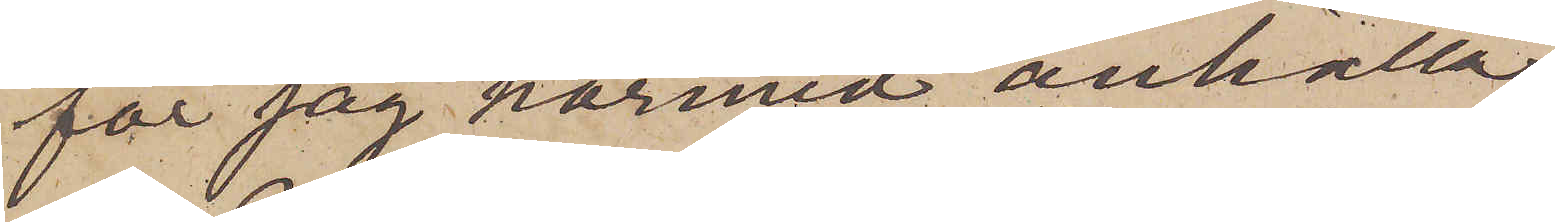får jag härmed anhålla,
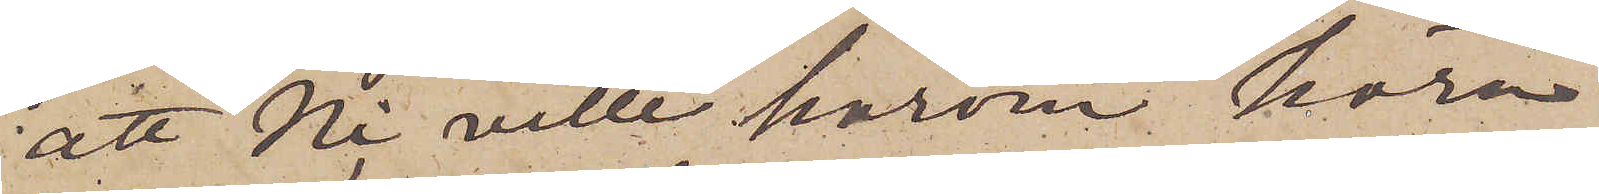att Ni ville härom höra
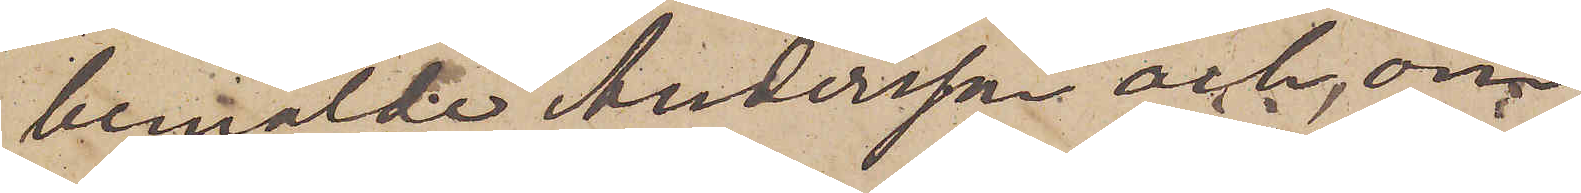bemälde Andersson och, om
